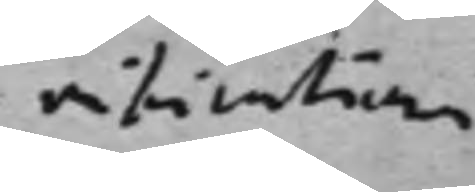rificationer
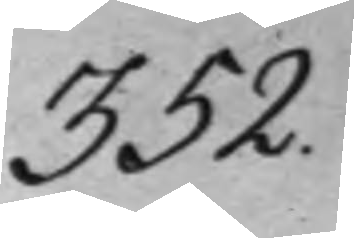352.
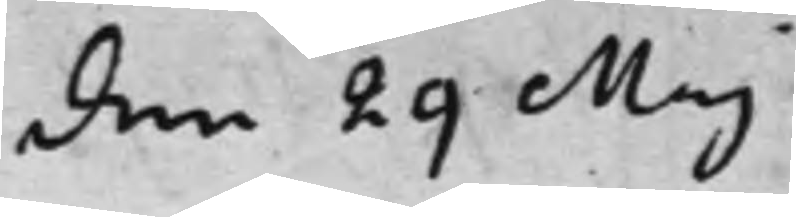den 29 Maj
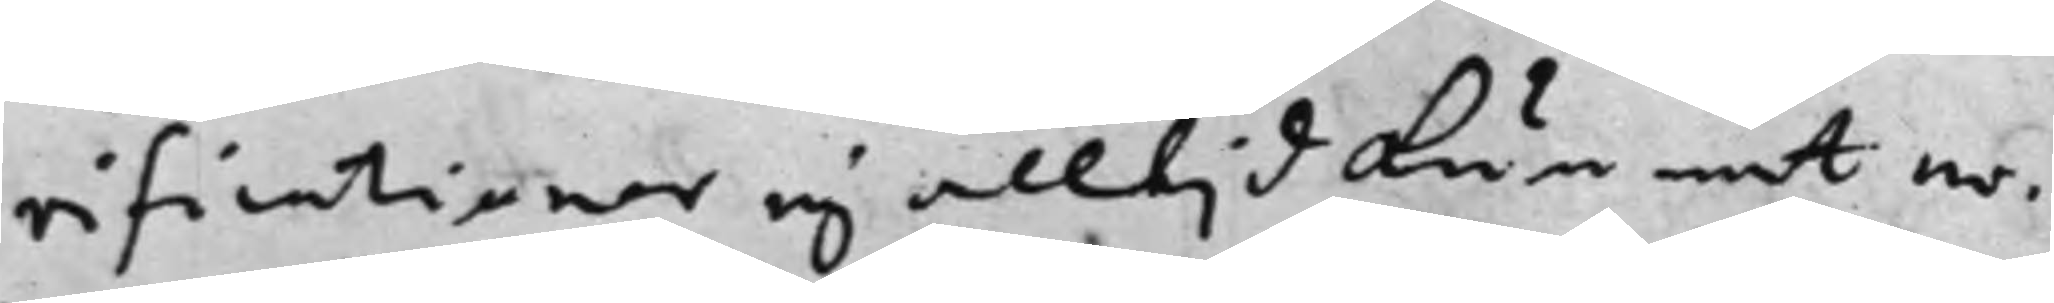rificationer ej alltijd kunnat er¬
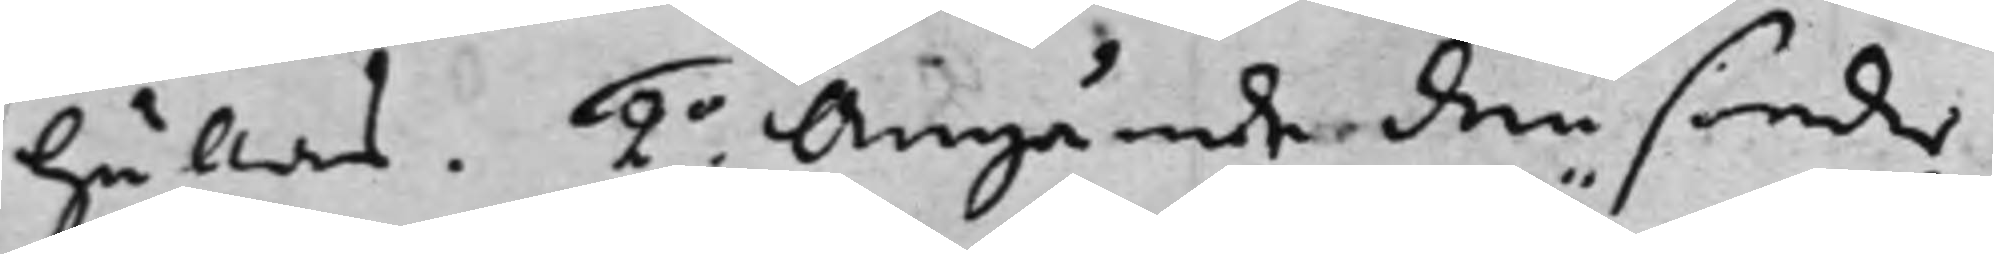hållas. 2o. Angående den sönder¬
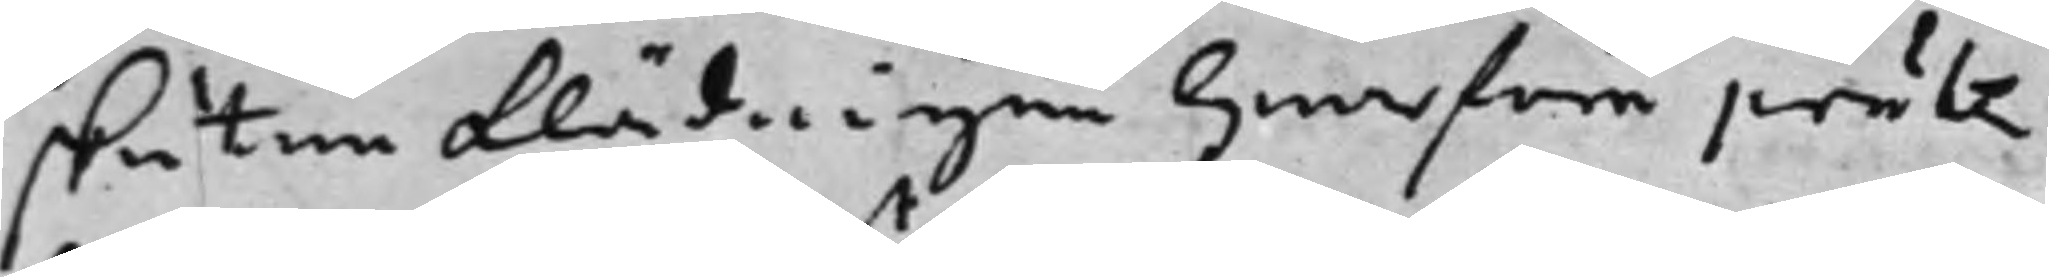skutne klädningen hwarföre präten¬
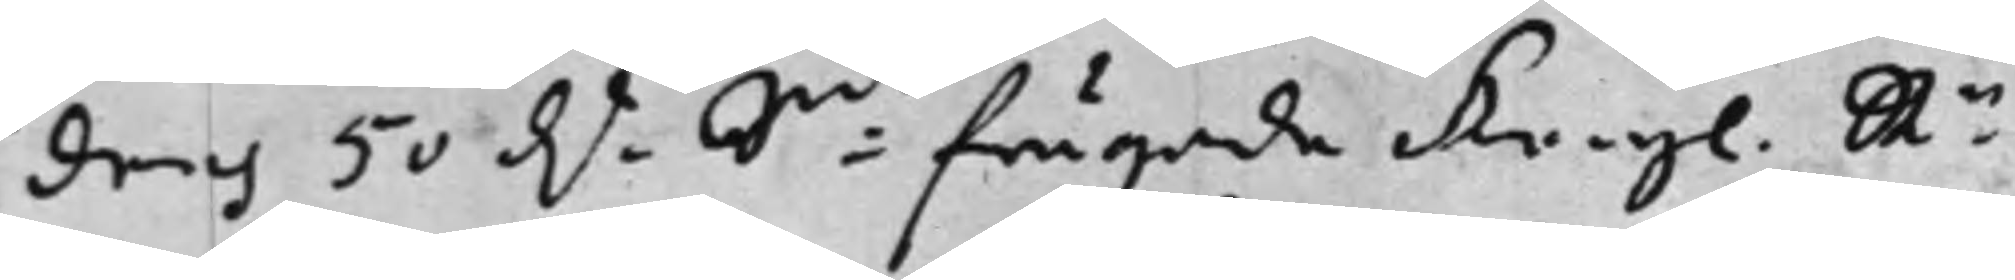deras 50 d.r S:mt frågade Kongl. Rn.
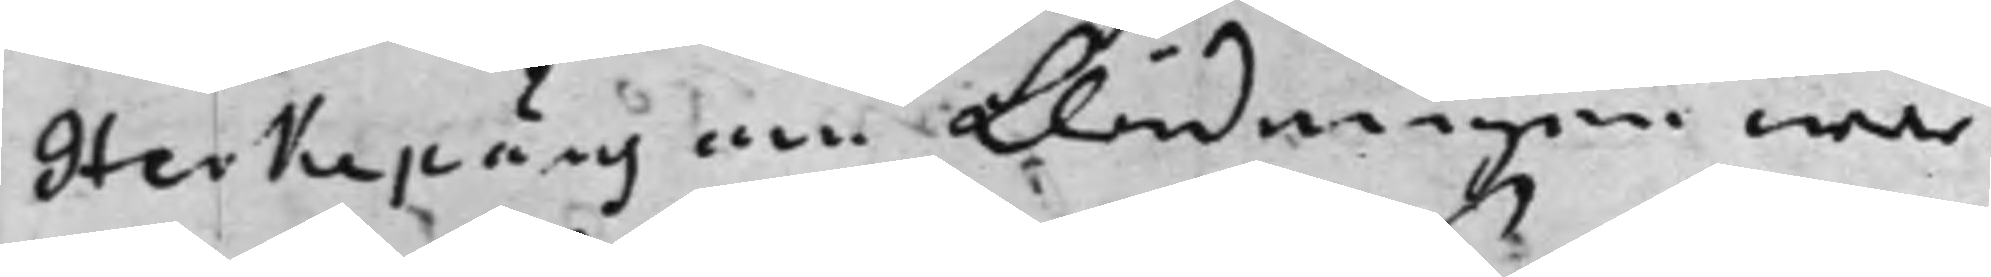Herkepåus om klädningen war
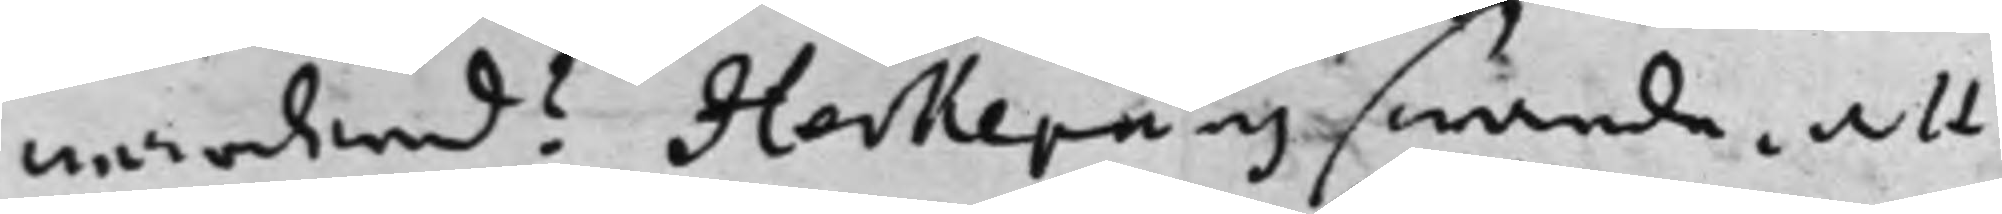wärderad? Herkepäus swarde, att
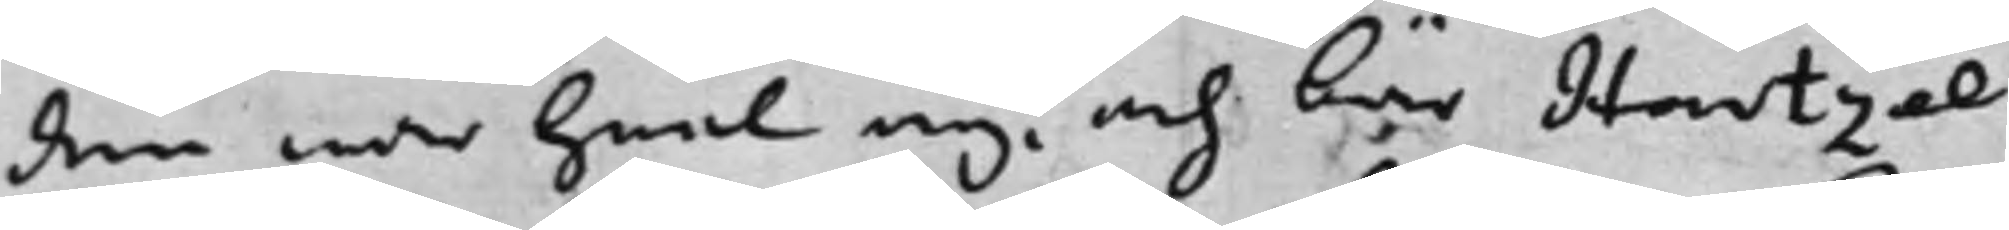den war heel ny, och bär Hartzel
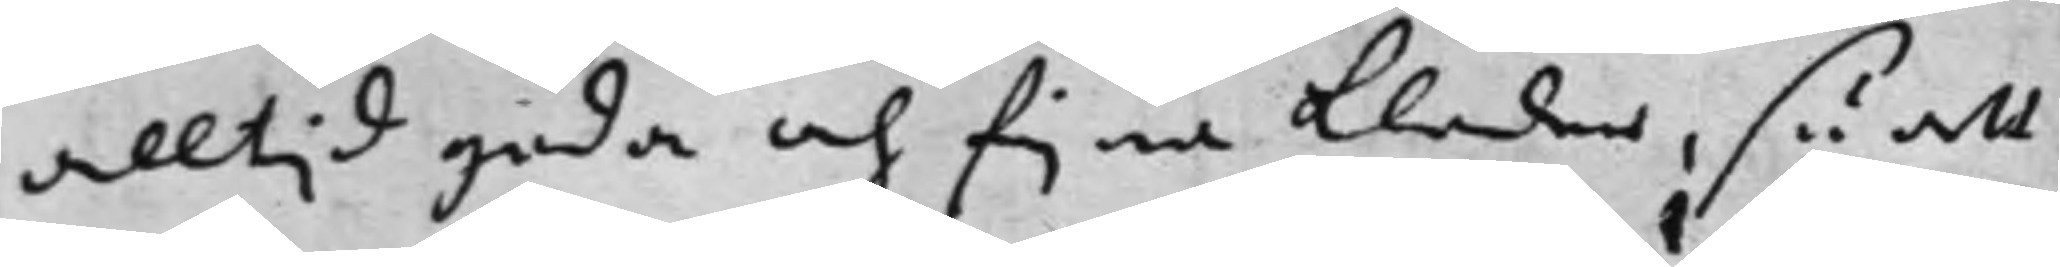alltijd goda och fijna kläder, så att
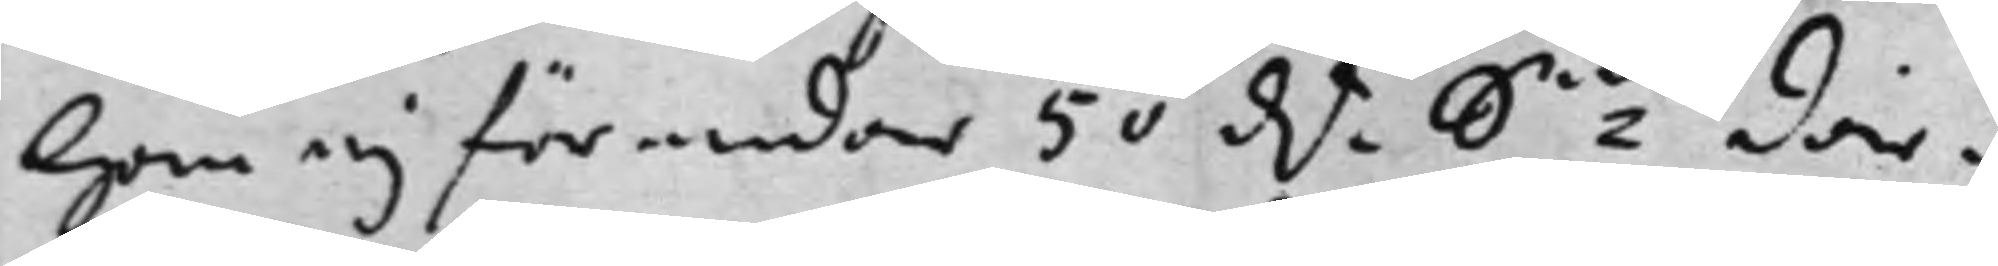han ej för undar 50 d.r S:mt där¬ 
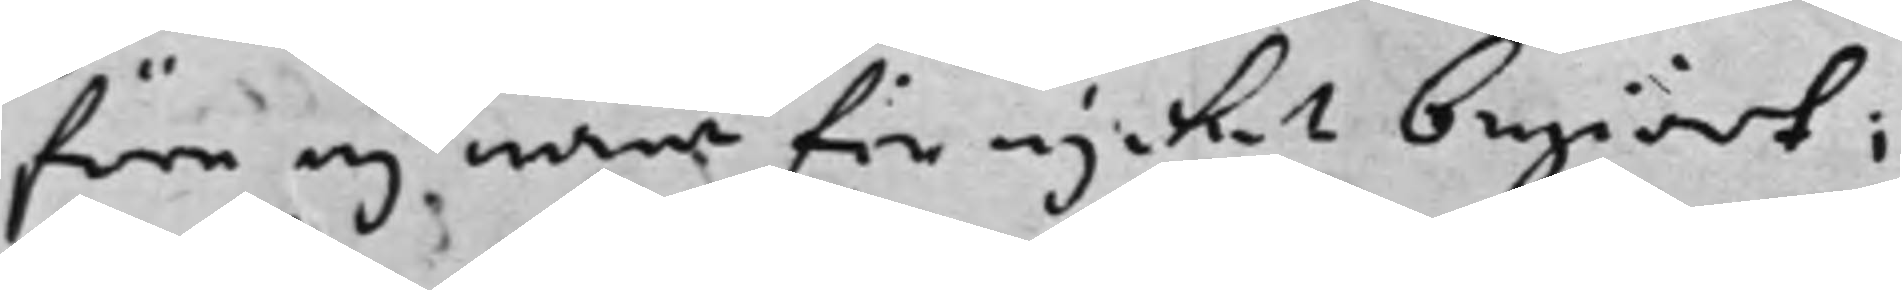före ej war för mycket begiärt;
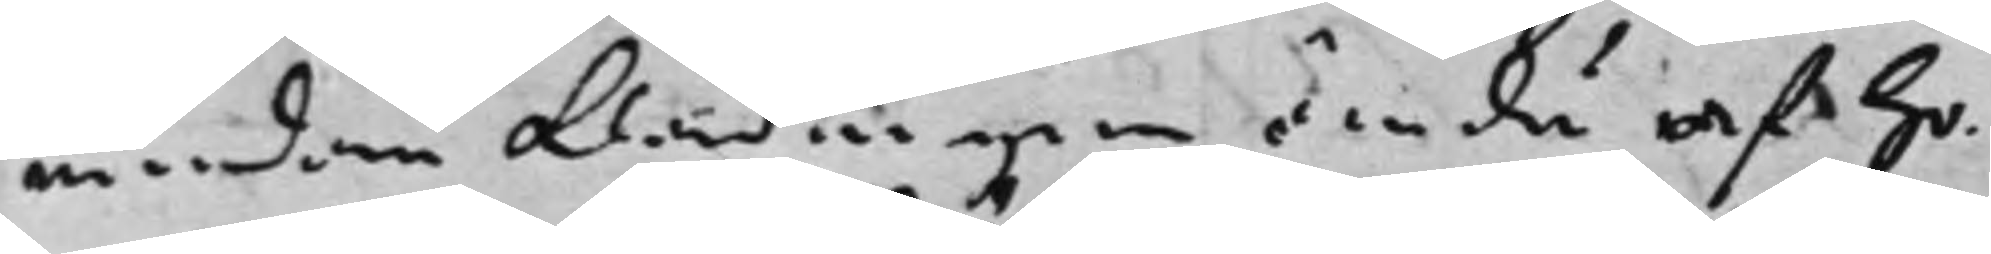medan klädningen ändå af ho¬
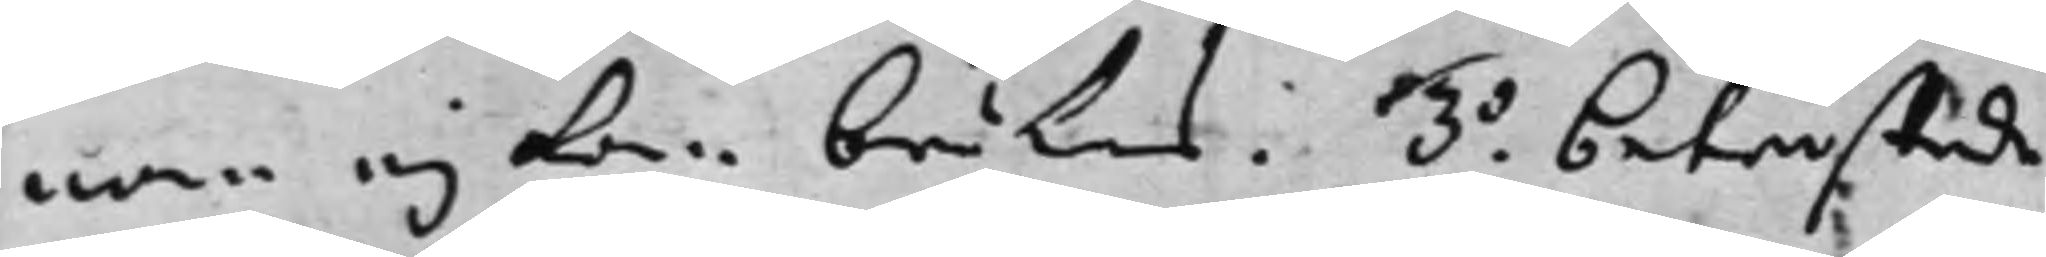nom ej kan brukas. 3o. betwistade 
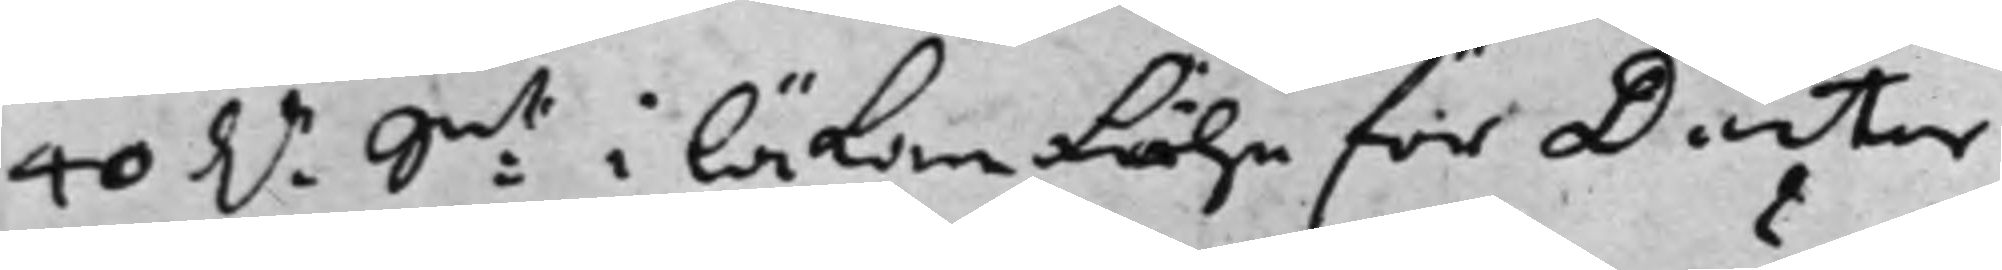40 D.r S:mt i läkom Löhn för Doctor 
